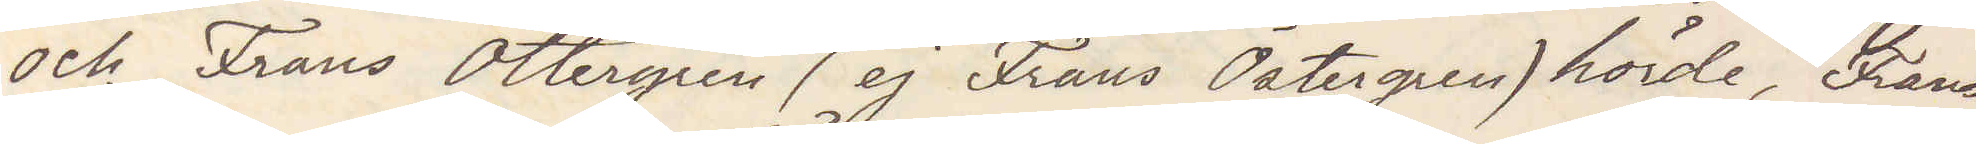och Frans Ottergren (ej Frans Östergren) hörde, Frans
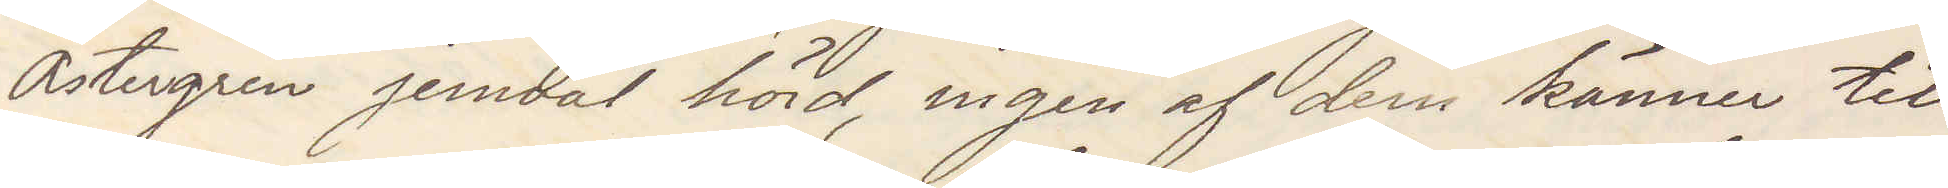Östergren jemväl hörd, ingen af dem känner till
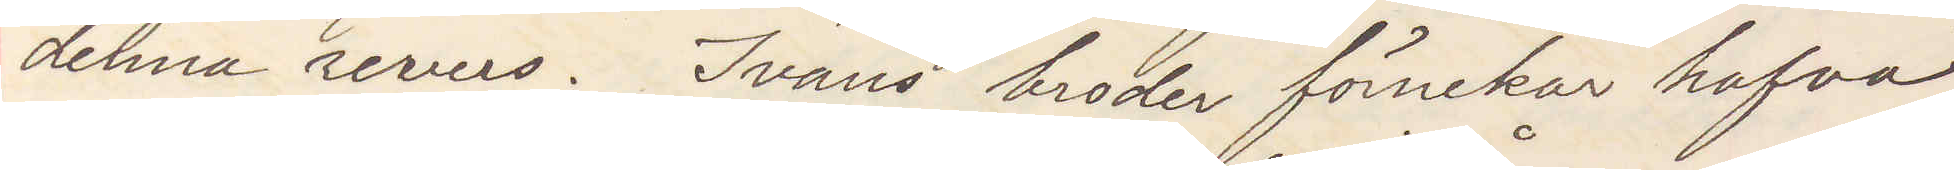denna revers. Ivans broder förnekar hafva
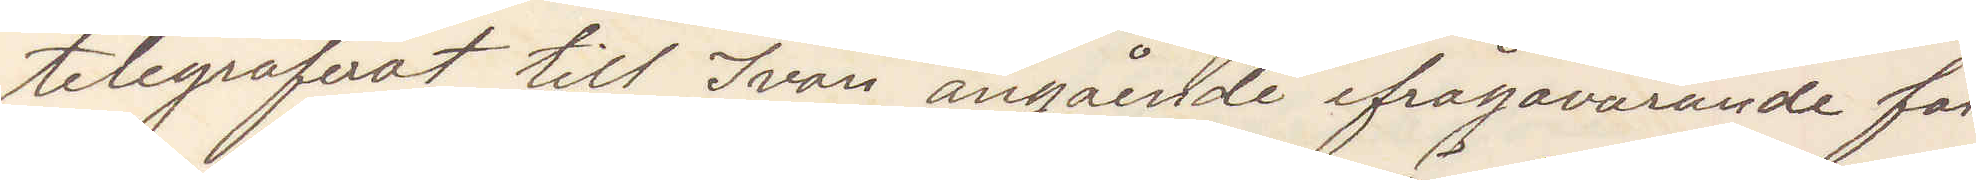telegraferat till Ivan angående ifrågavarande fal¬
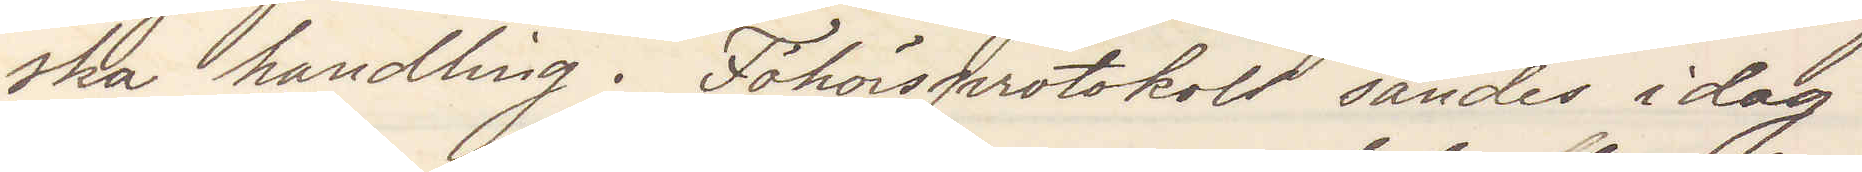ska handling. Förhörsprotokoll sändes idag.
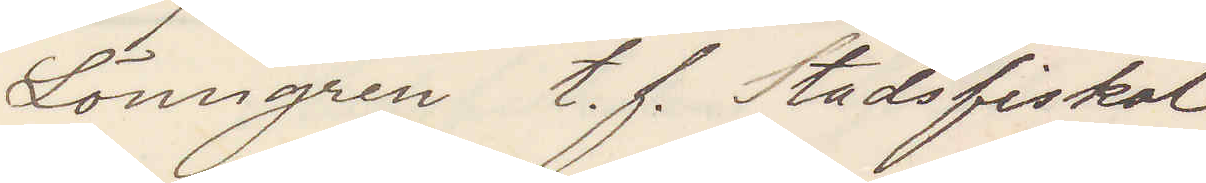Lönngren t. f. Stadsfiskal
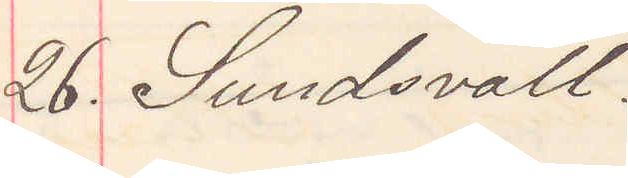26. Sundsvall
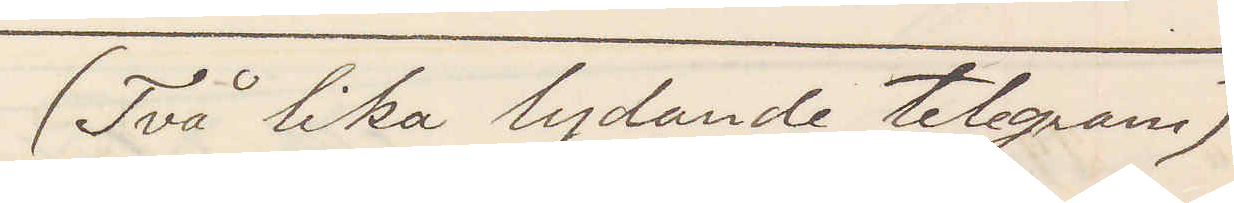(Två lika lydande telegram)
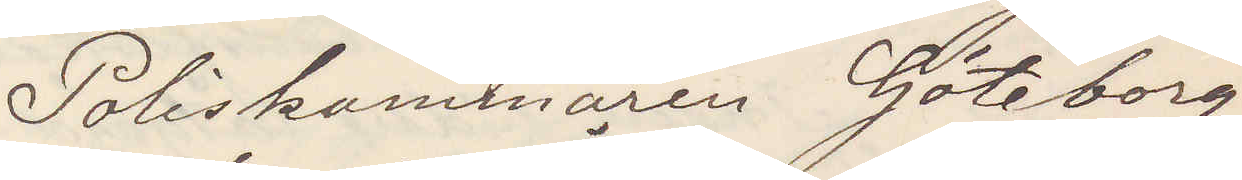Poliskammaren Göteborg.
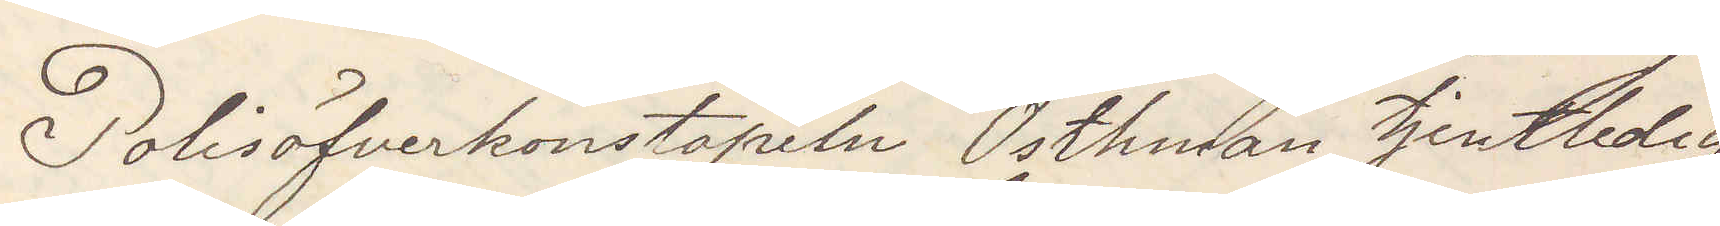Polisöfverkonstapeln Östhman tjenstledig,
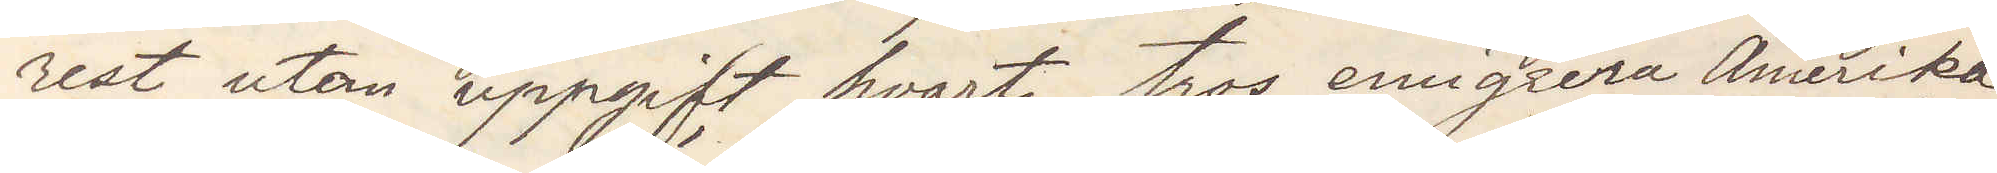rest utan uppgift hvart, tros emigrera Amerika.
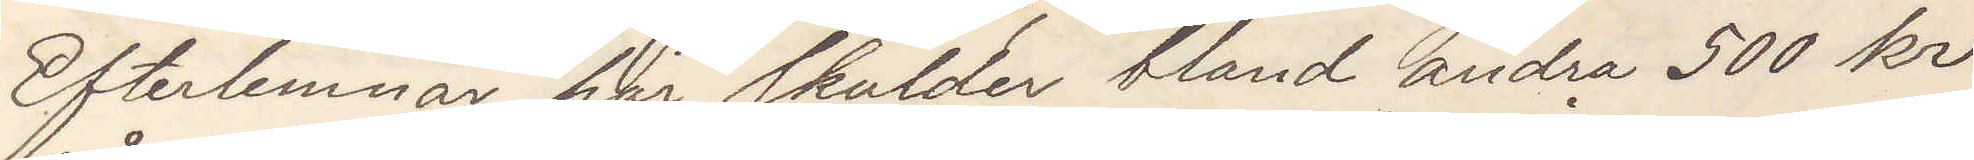Efterlemnar här skulder bland andra 500 kr
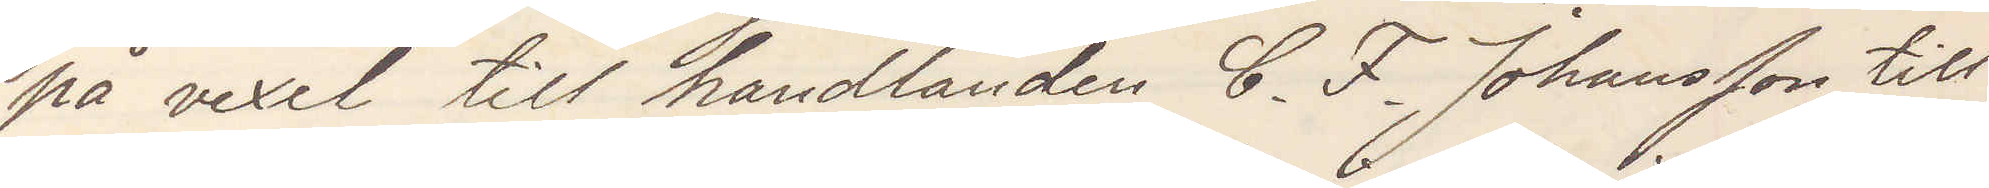på vexel till handlanden C. F. Johansson till
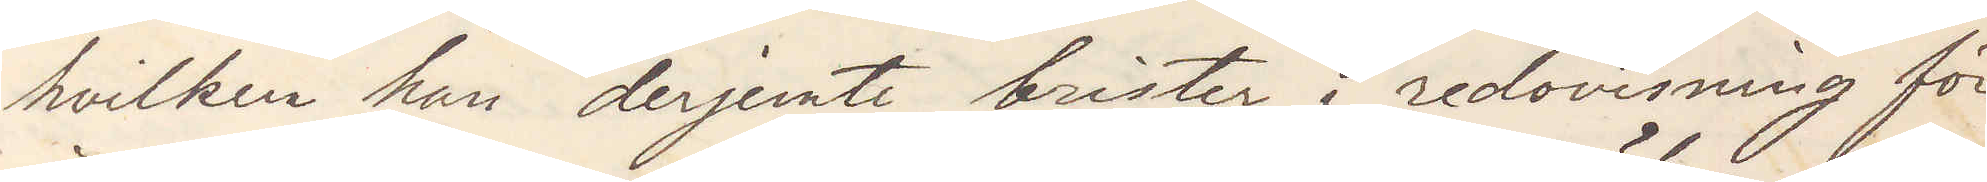hvilken han derjemte brister i redovisning för
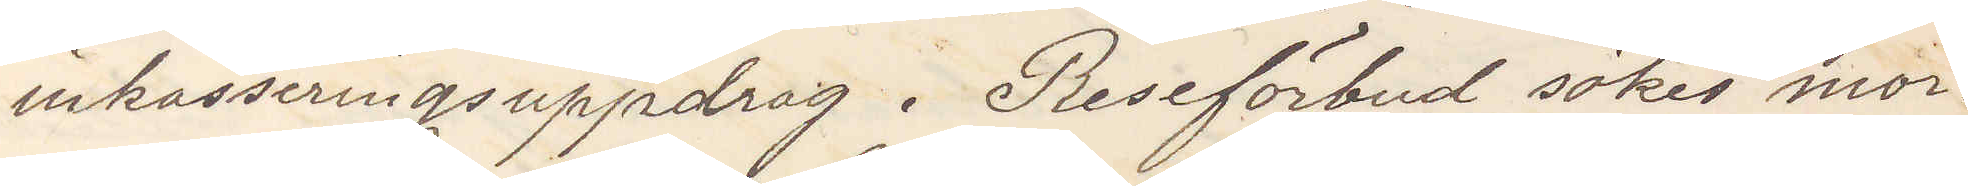inkasseringsuppdrag. Reseförbud sökes mor¬
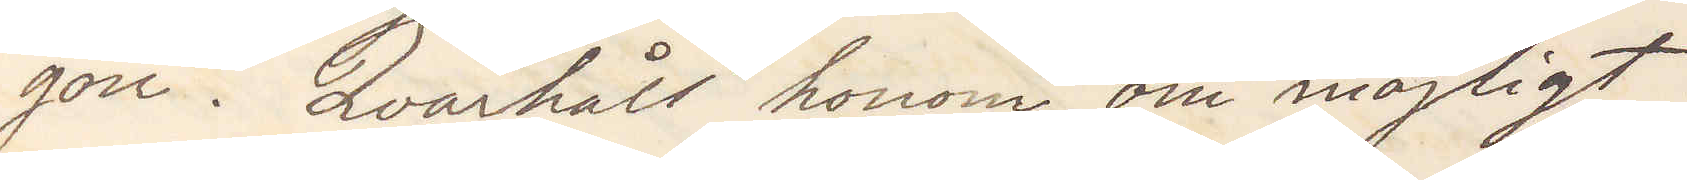gon. Qvarhåll honom om möjligt.
